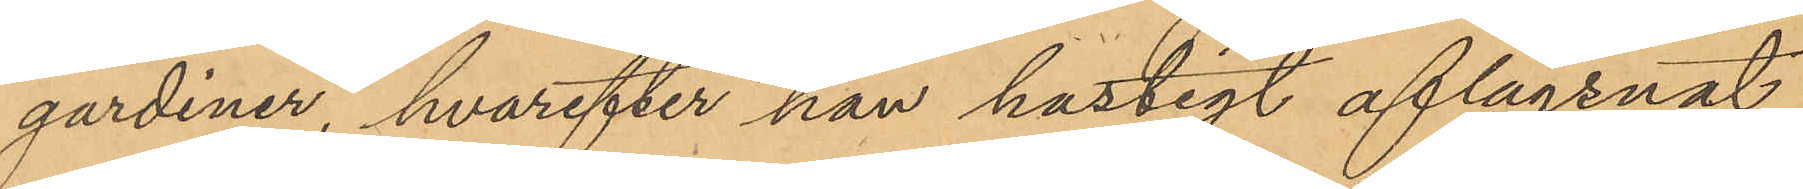gardiner, hvarefter han hastigt aflägsnat
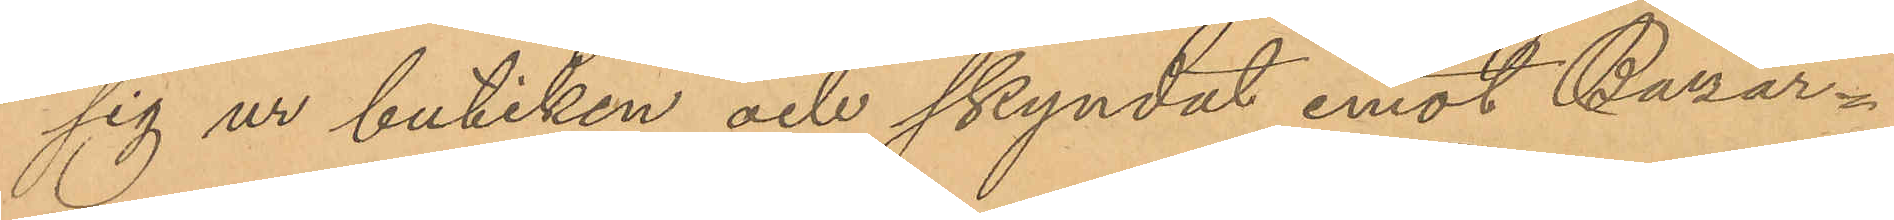sig ur butiken och skyndat emot Bazar¬
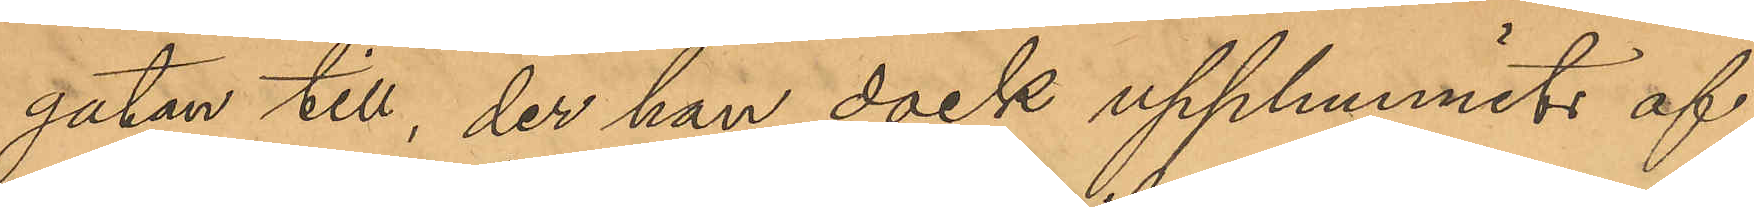gatan till, der han dock upphunnits af
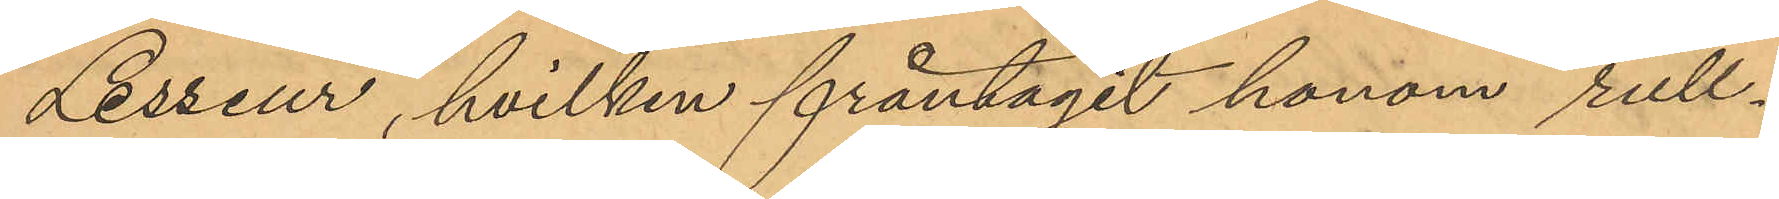Lesseur, hvilken fråntagit honom rull¬
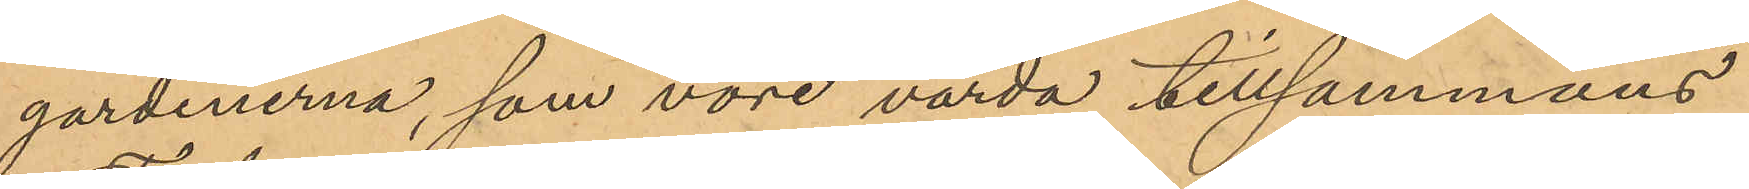gardinerna, som vore värda tillsammans
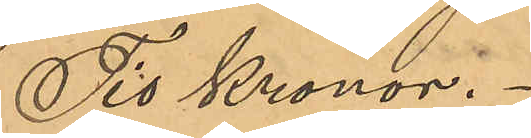Tio Kronor.
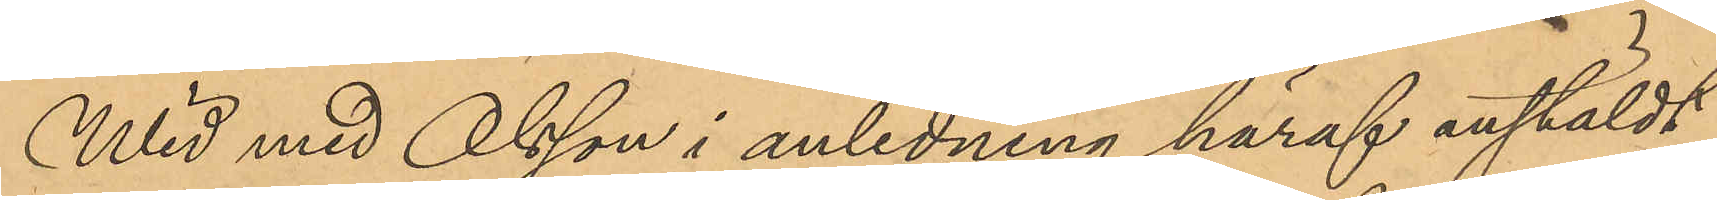Wid med Olsson i anledning häraf anstäldt
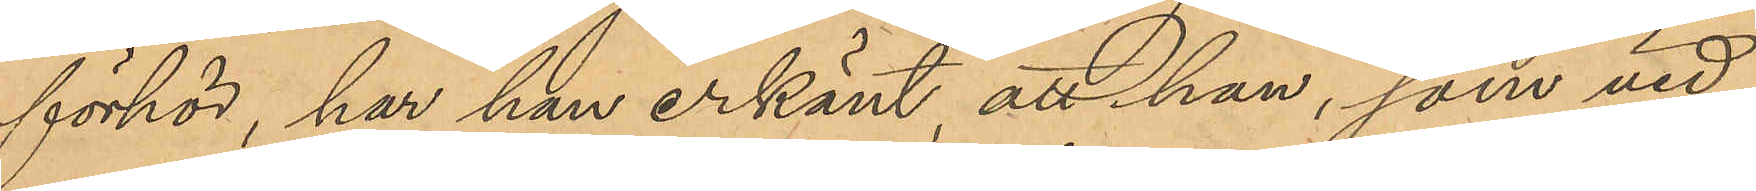förhör, har han erkänt, att han, som vid
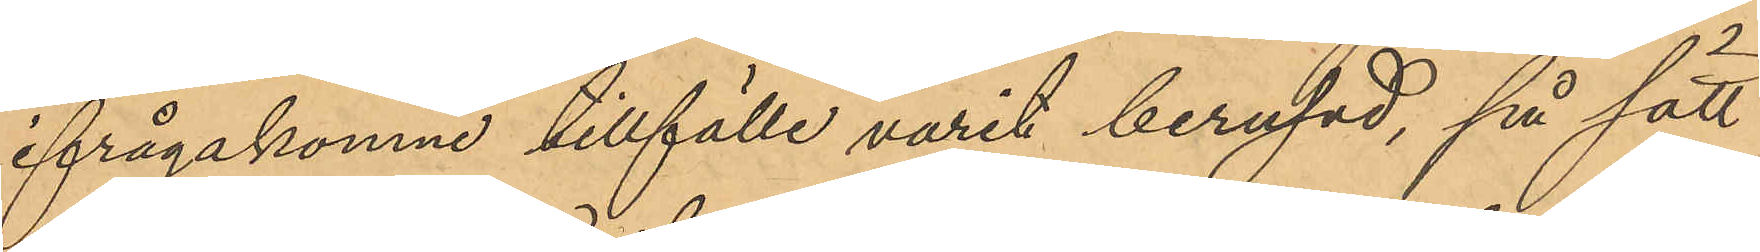ifrågakomne tillfälle varit berusad, på sätt
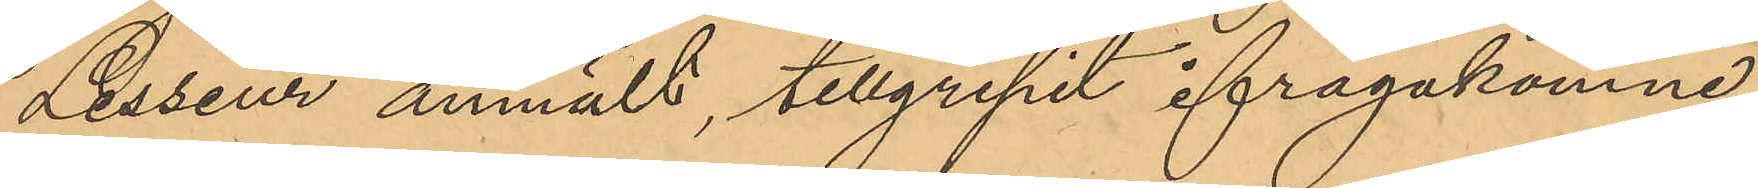Lesseur anmält, tillgripit ifrågakomne
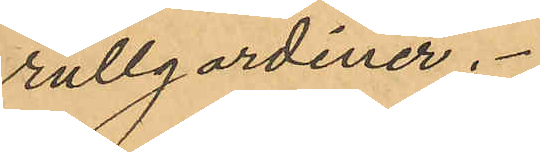rullgardiner.
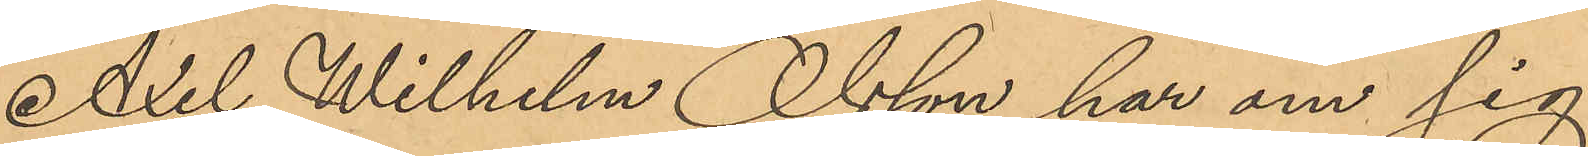Axel Wilhelm Olsson har om sig
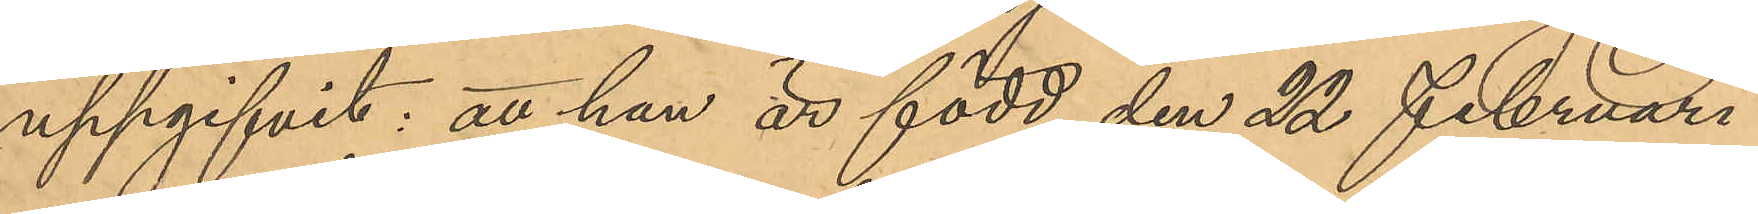uppgifvit: att han är född den 22 Februari
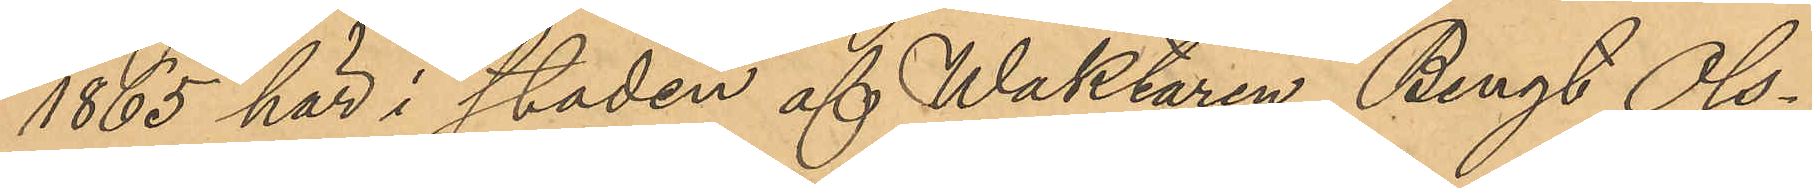1865 här i staden af Waktaren Bengt Ols¬
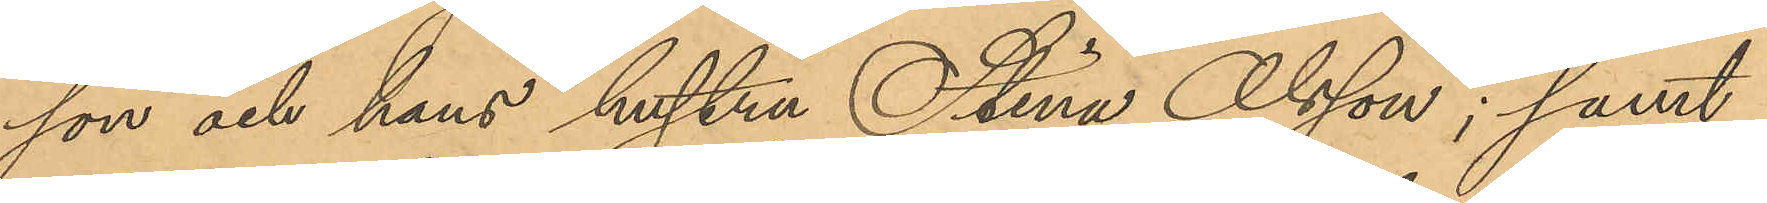son och hans hustru Stina Olsson; samt
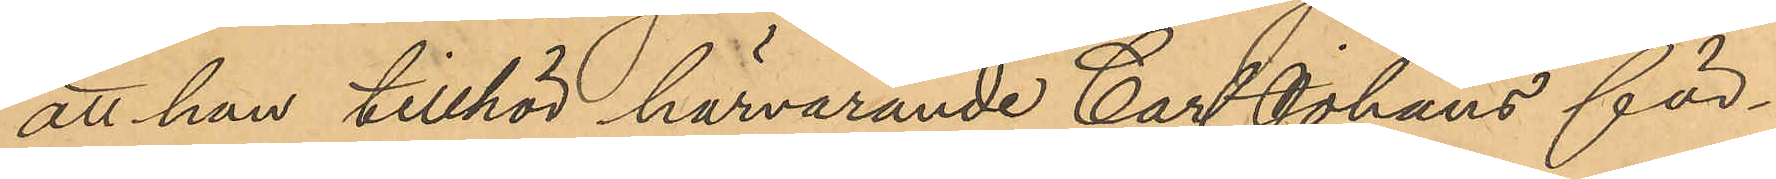att han tillhör härvarande Carl Johans för¬
